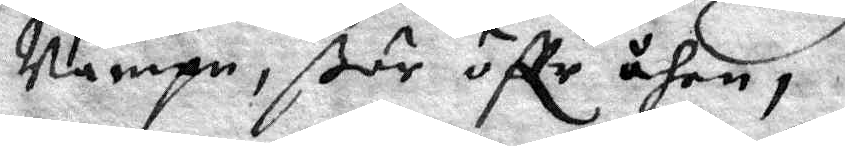Nampn, ßör öffer åhen,
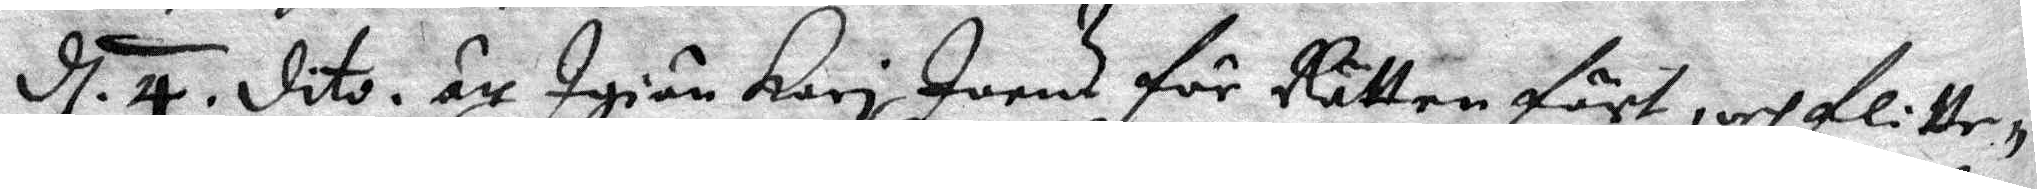d. 4 dito. är Igiän Kari Joens för Rätten fört, och flitte¬ 
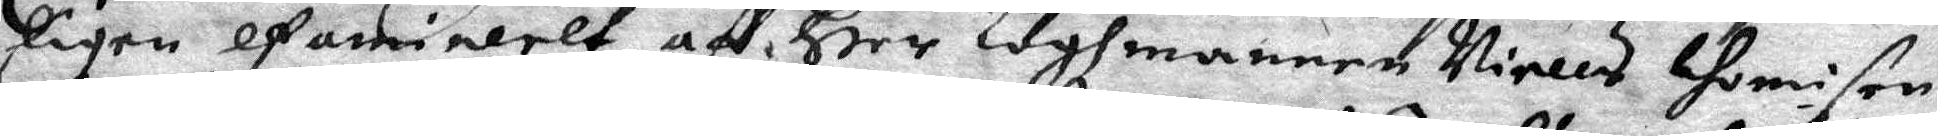ligen afamineret aff Heer Laghmannen Nielas thomison
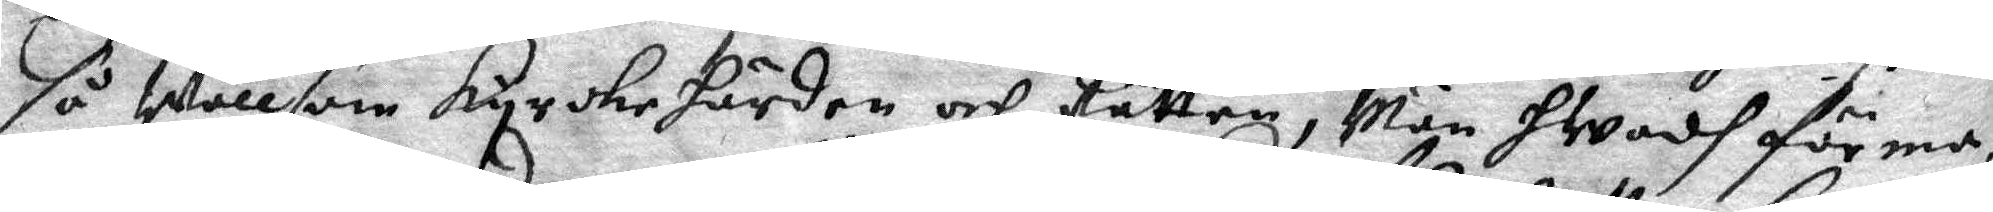så wäll som Kyrckehärden och Rätten, Män hwadh förma¬
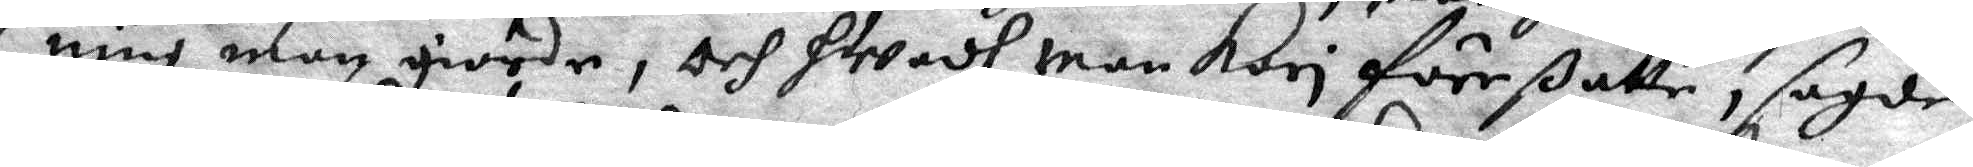nig man giorde, och hwadh man Kari förrßatte, sagde
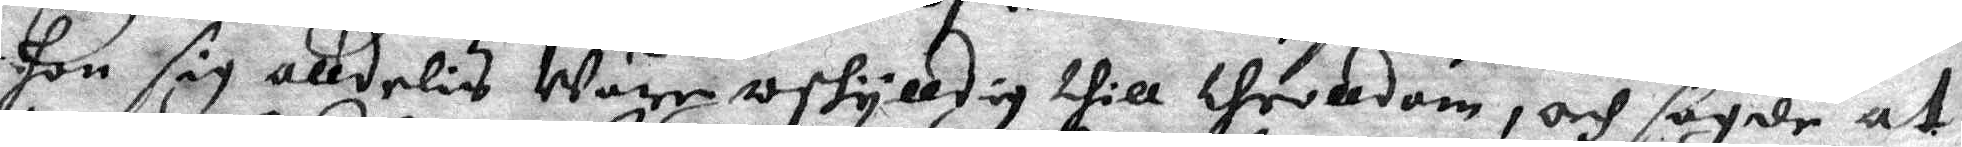hon sig alldeles Wära oskylldig till throlldom, och sagde at
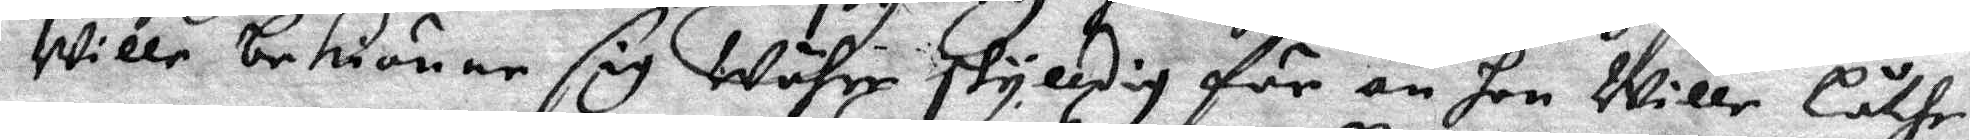Wille bekiänne sig Währe skylldig för än hon Wille Låthe
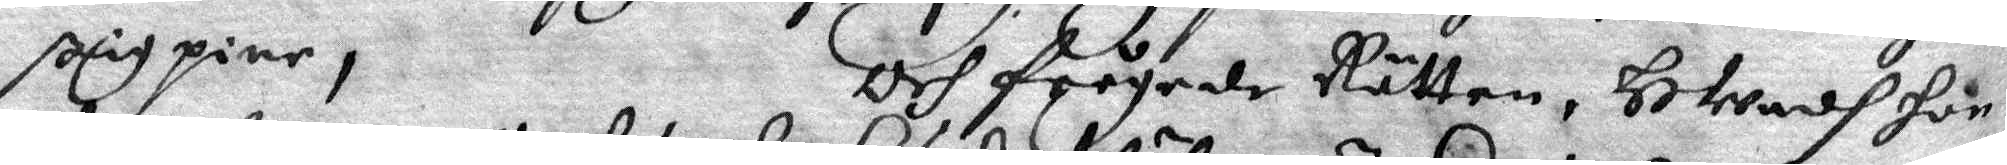ßig pine, Och frågade Rätten, HWadh hon
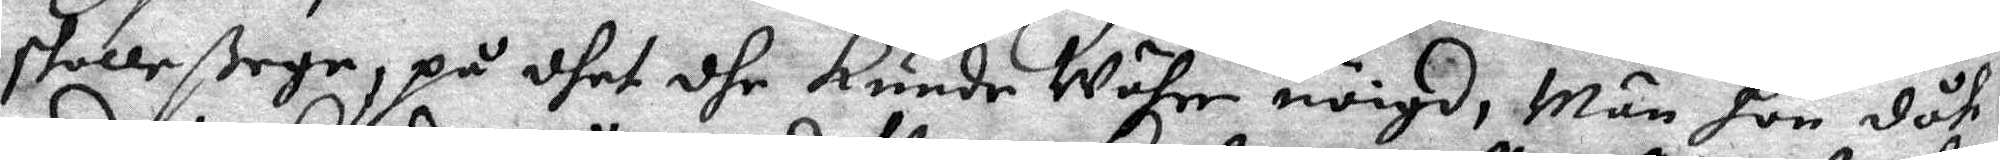skolle ßega, på dhet dhe kunde Währe nöigd, Män hon dåh
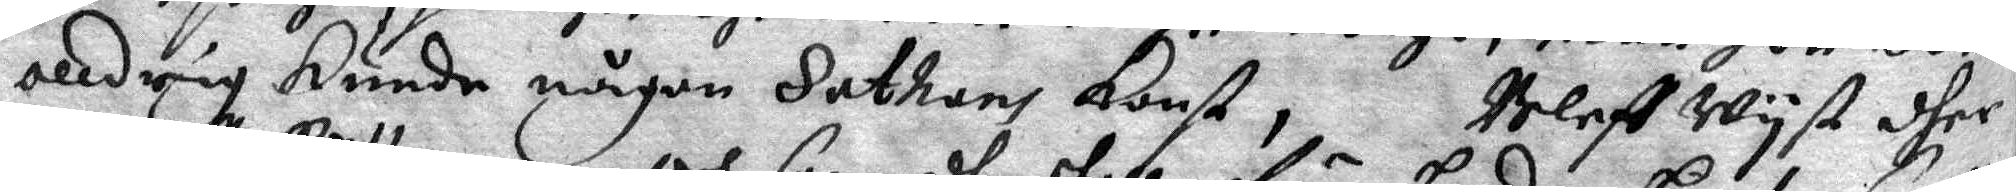alldrig kunde någon Sathans Konst, Bleff Wyst dher
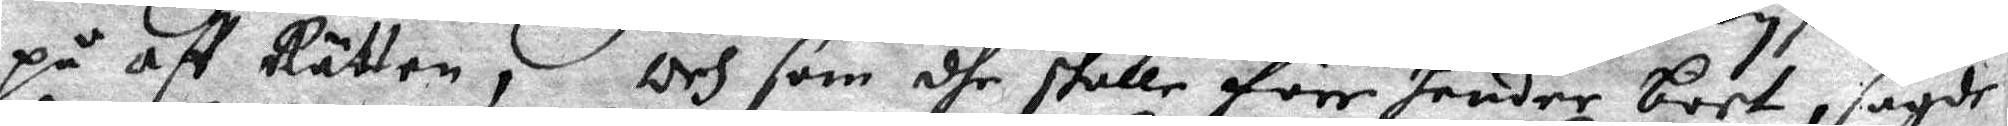på aff Rätten, och som dhe skulle före hender bort, sagde
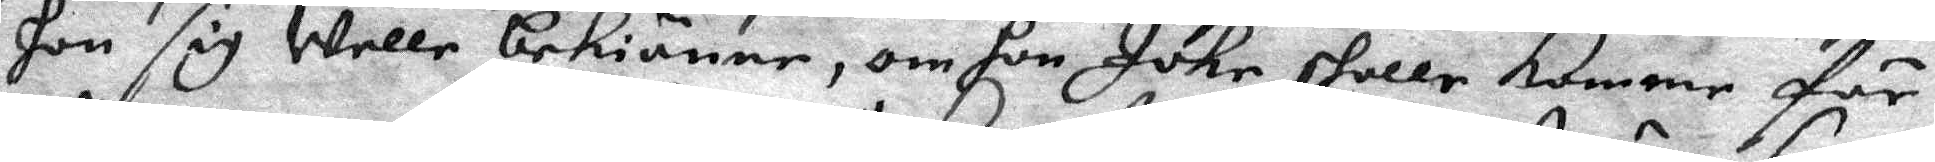hon sig Welle bekiänne, om hon Icke skolle komme för
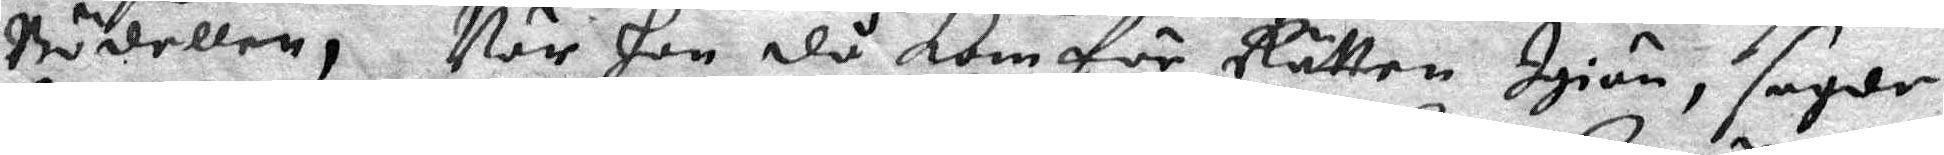Bödellen, När hon då kom för Rätten Igiän, sagde
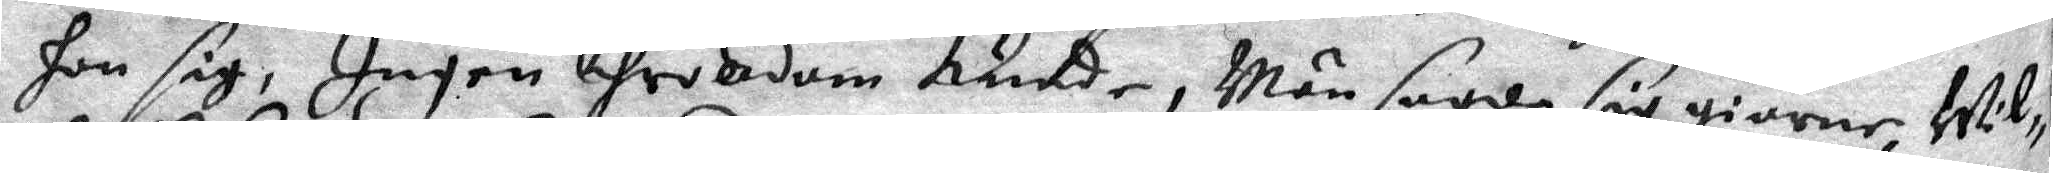hon sig, Ingen throlldom kunde, Män sagde sig giärne Wil¬
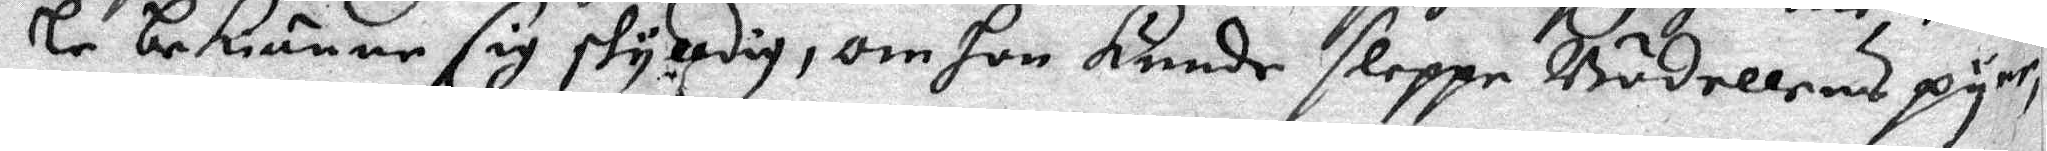le bekiänne sig skylldig, om hon kunde sleppe Bädellens pyne,
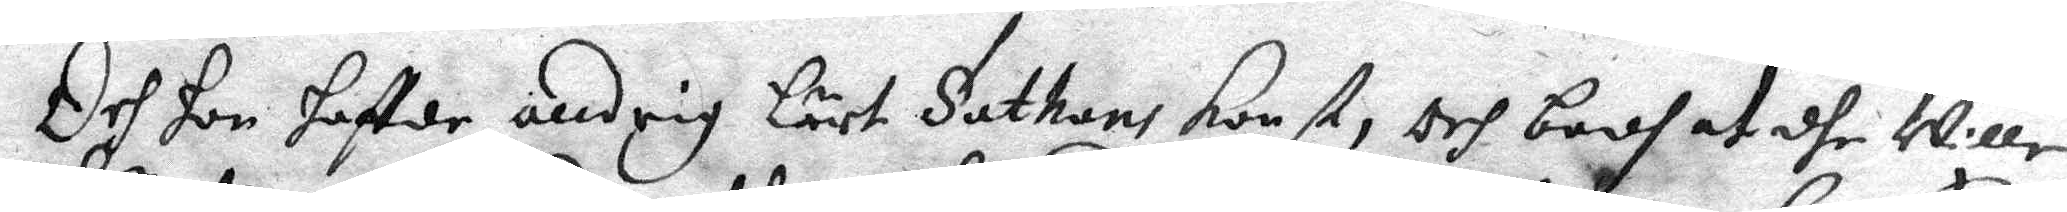Och hon haffde alldrig Lärt Sathans konst, och bodh at dhe Wille
